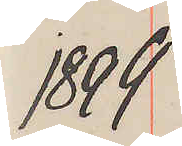1899
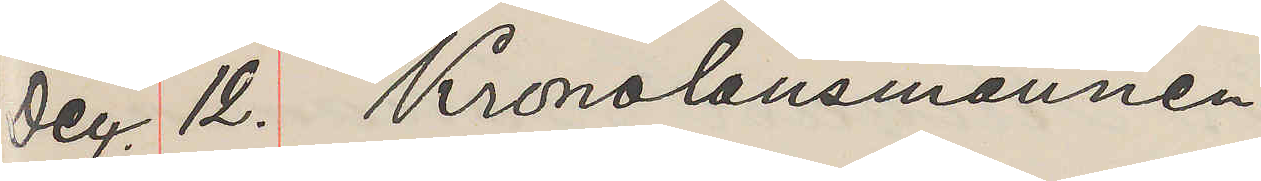Dec. 12. Kronolänsmannen
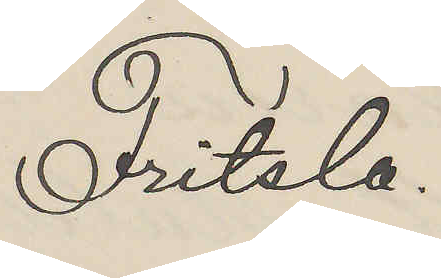Fritsla.
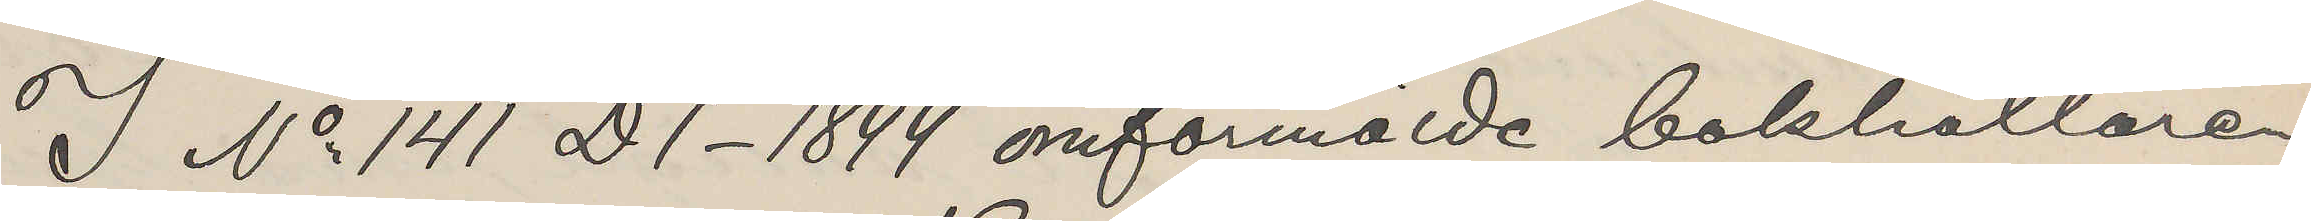I No 141 D1-1899 omförmälde bokhållaren
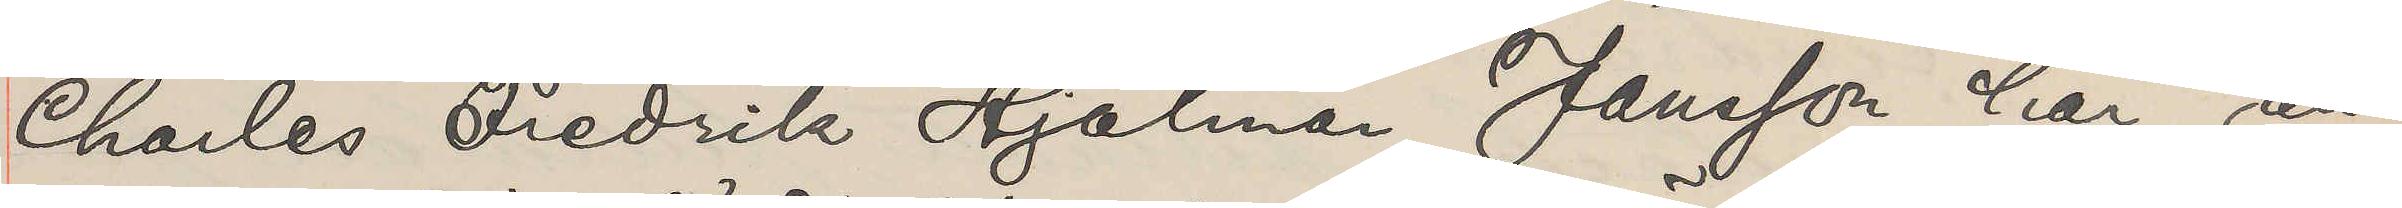Charles Fredrik Hjalmar Jansson här an¬
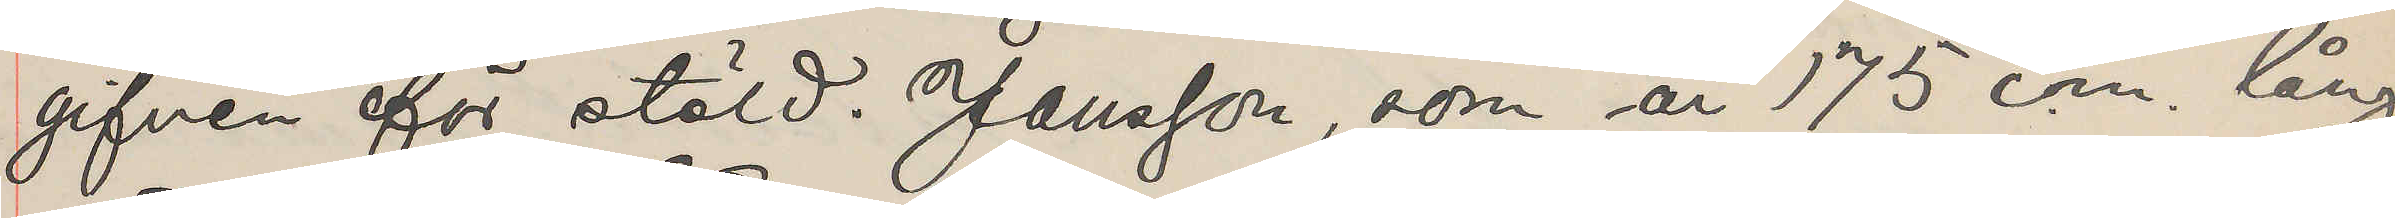gifven för stöld. Jansson, som år 175 cm. lång
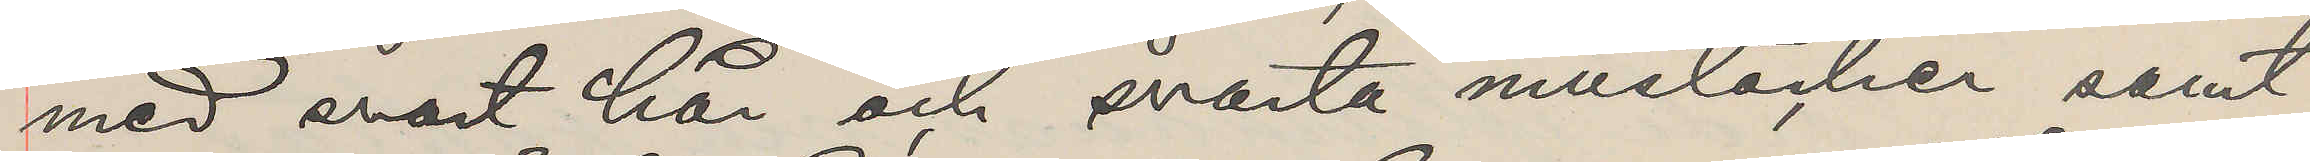med svart hår och svarta mustacher samt
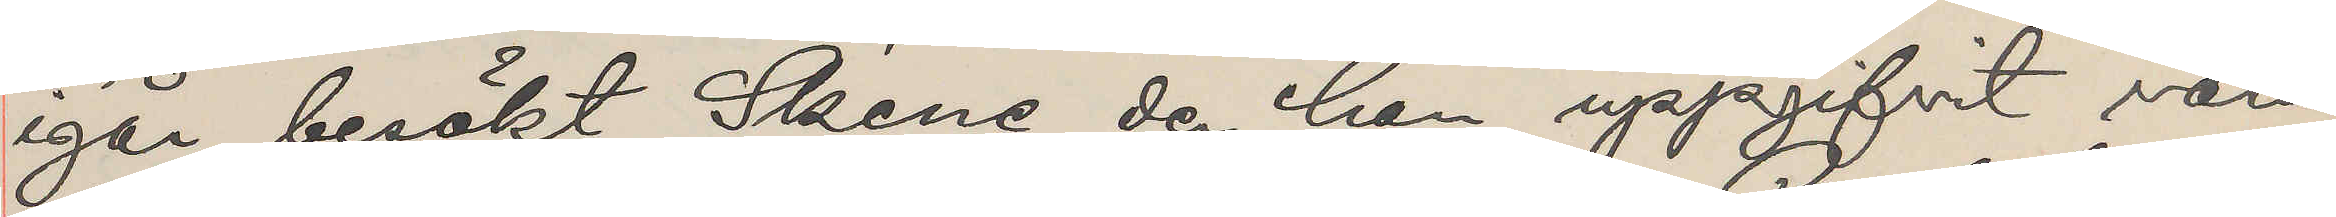igår besökt Skene, der han uppgifvit vara
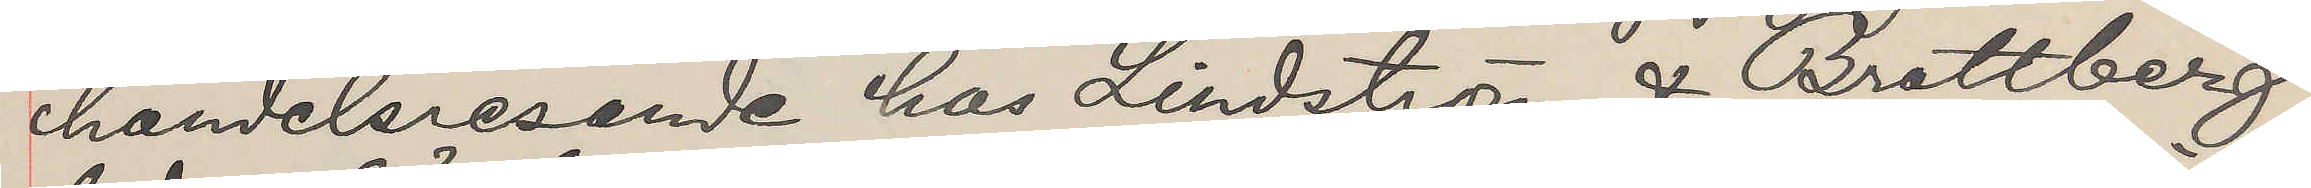handelsresande hos Lindström & Brattberg
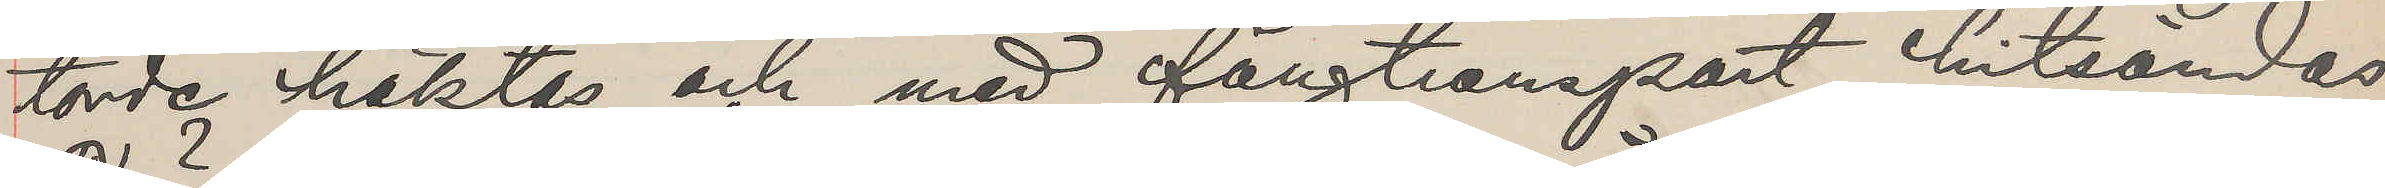torde häktas och med fångtransport hitsändas.
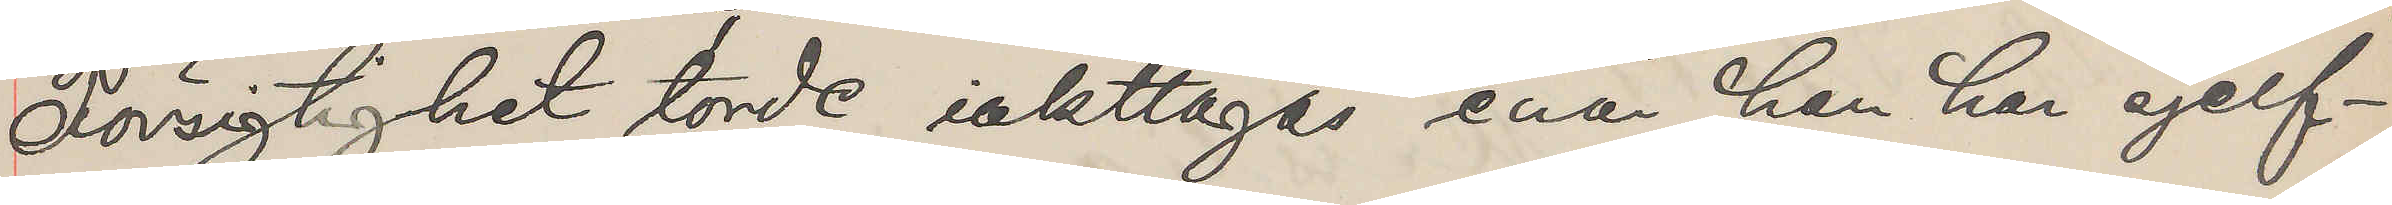Försigtighet torde iakttagas enär han har sjelf¬
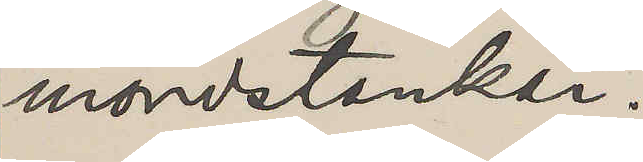mordstankar.
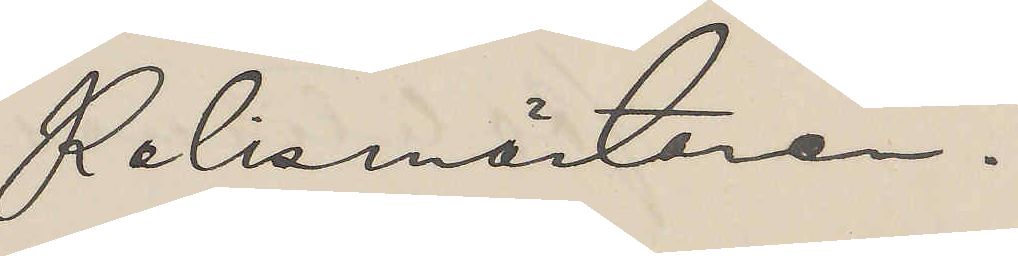Polismästaren.
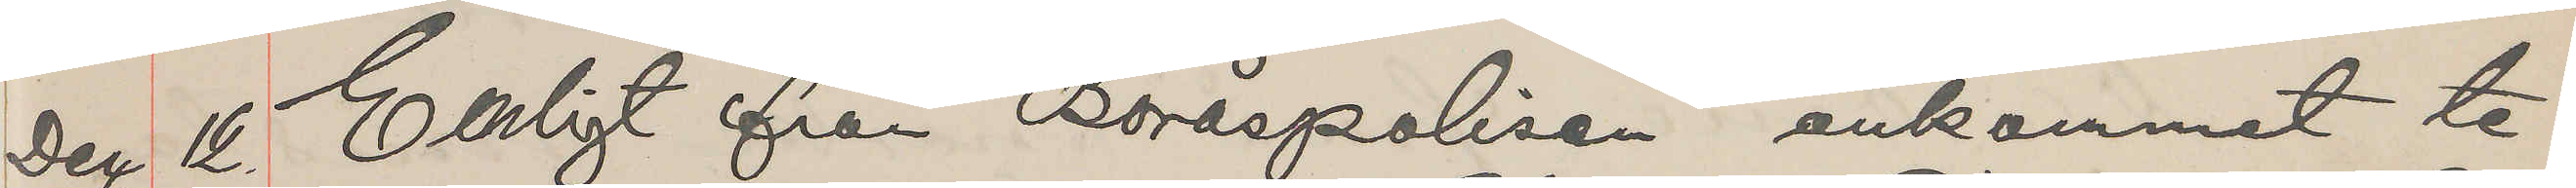Dec. 12. Enligt från Boråspolisen ankommet te¬
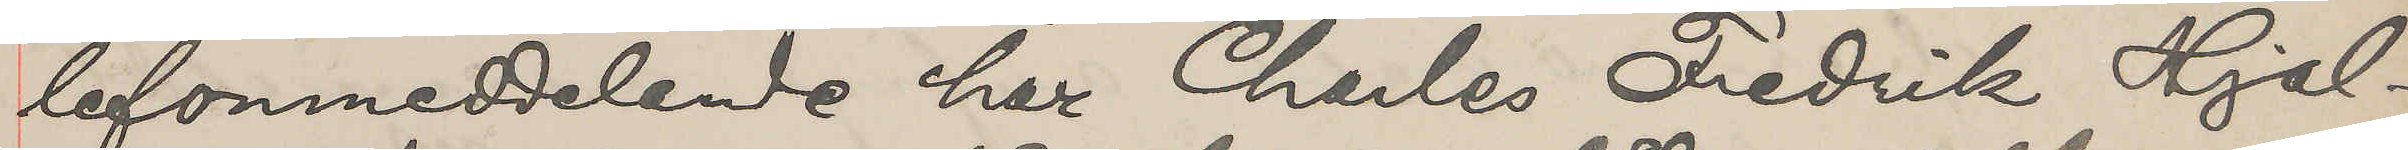lefonmeddelande har Charles Fredrik Hjal¬
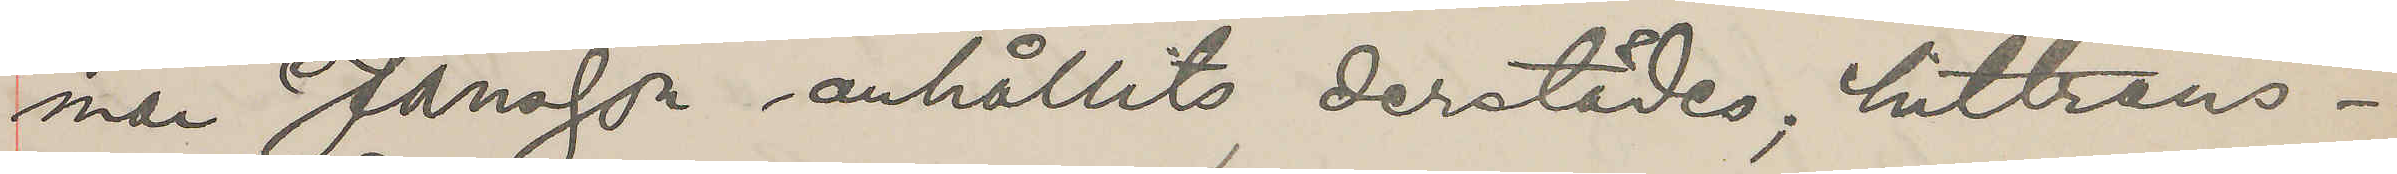mar Jansson anhållits derstädes, hittrans¬
